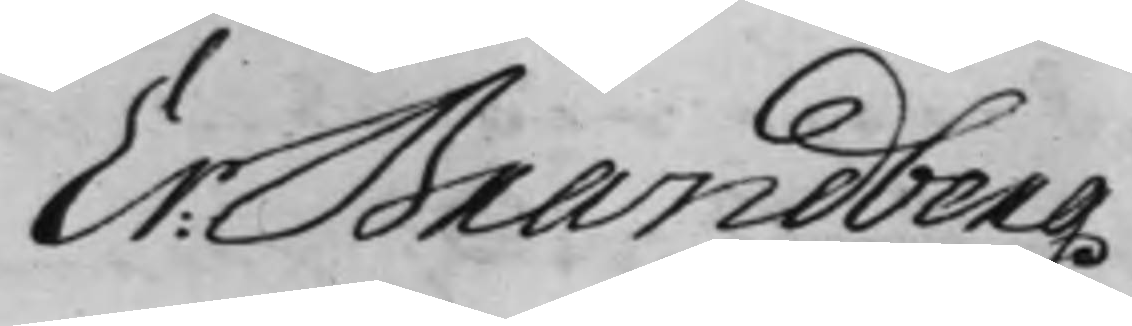Er: Brandberg
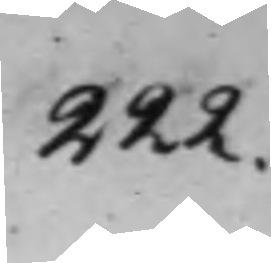222.
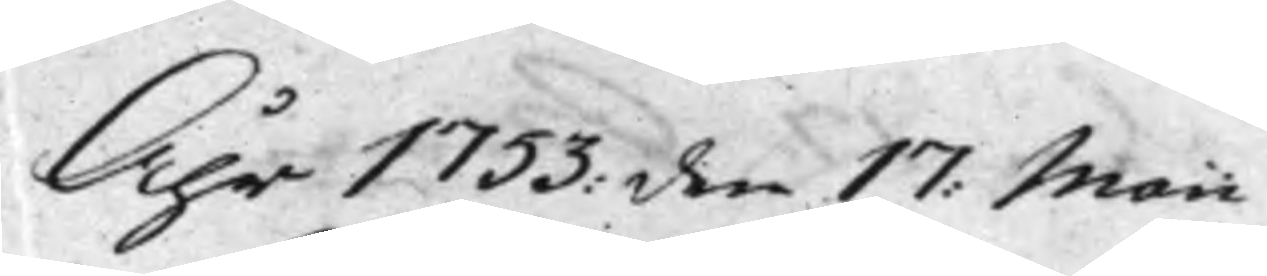Åhr 1753: den 17: Maii
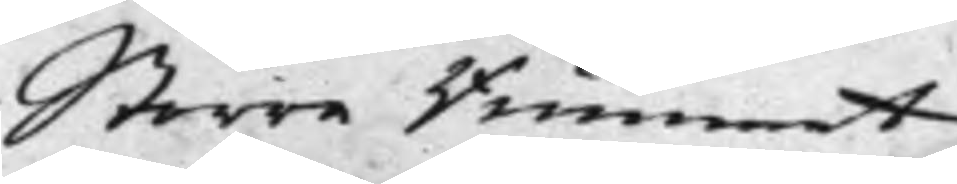Större Rummet.
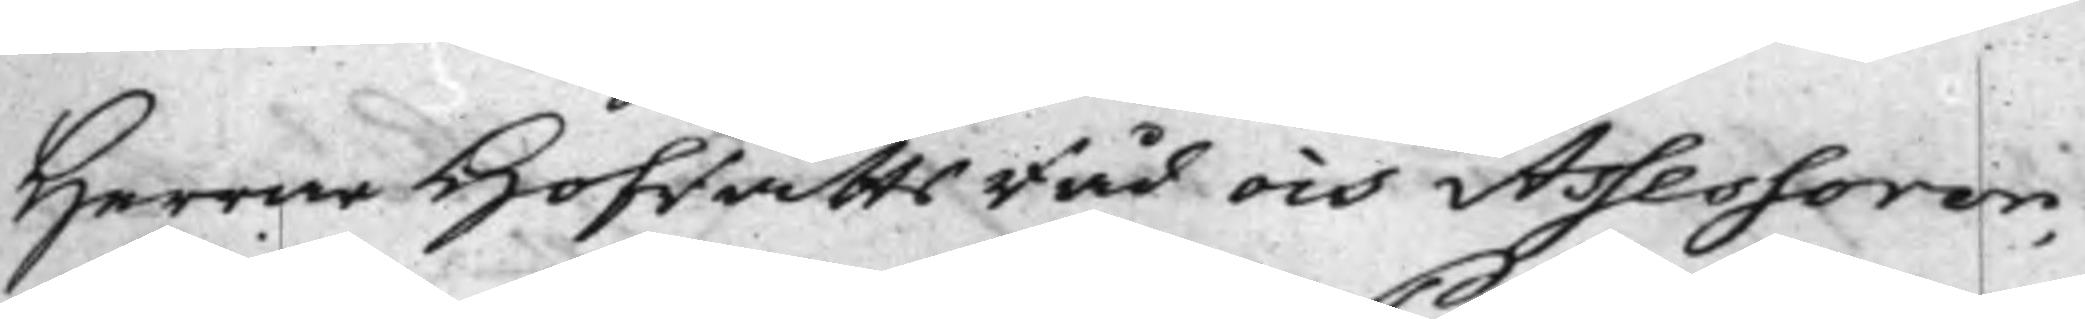Herrar HofrättsRåd och Assessorer,
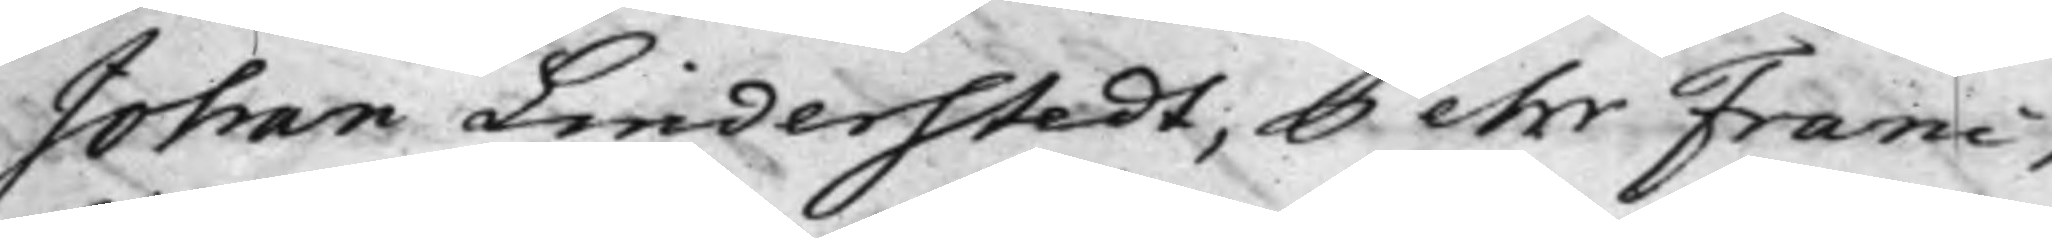Johan Linderstedt, Pehr Franc,
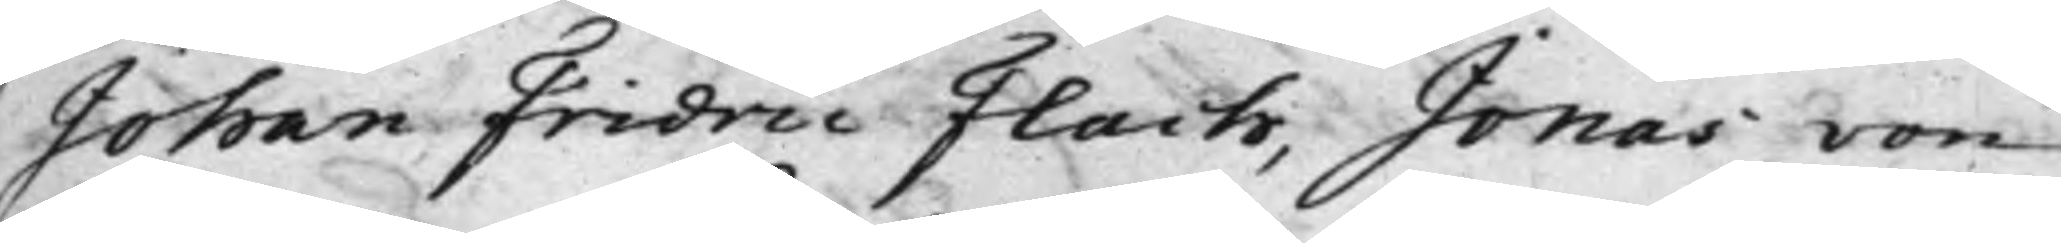Johan Fridric Flach, Jonas von
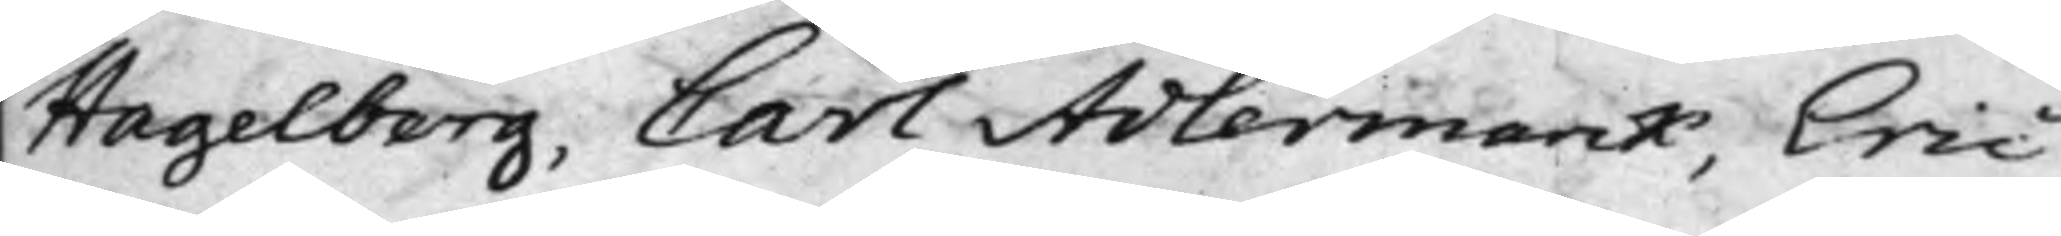Hagelberg, Carl Adlermarck, Eric
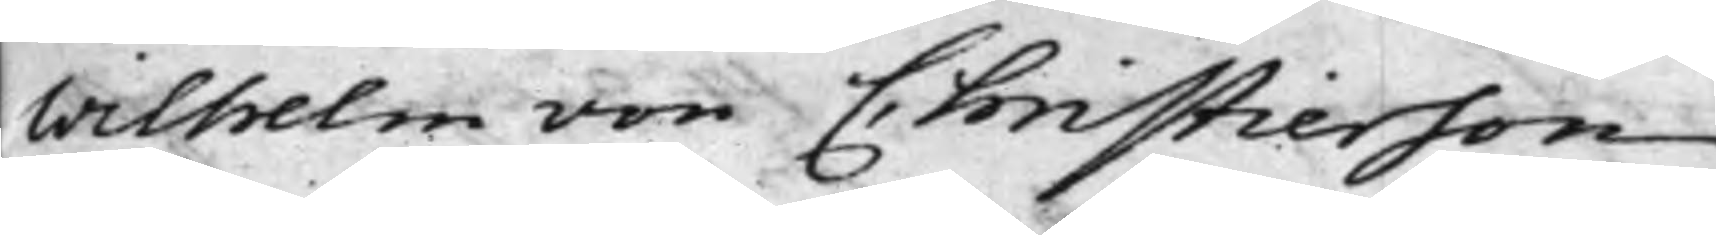Wilhelm von Christierson.
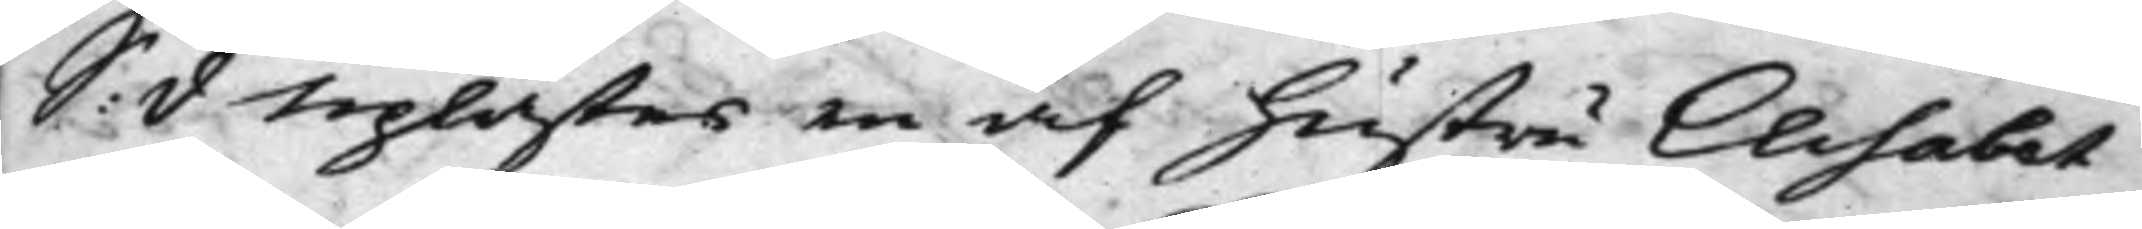S: d Uplästes en af hustru Elisabet
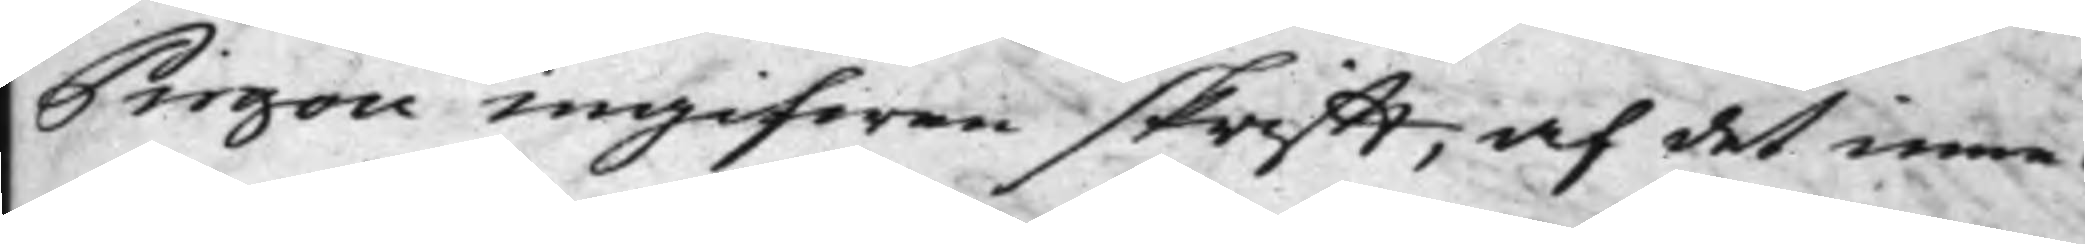Pirgon ingifwen skrifft, af det inne¬
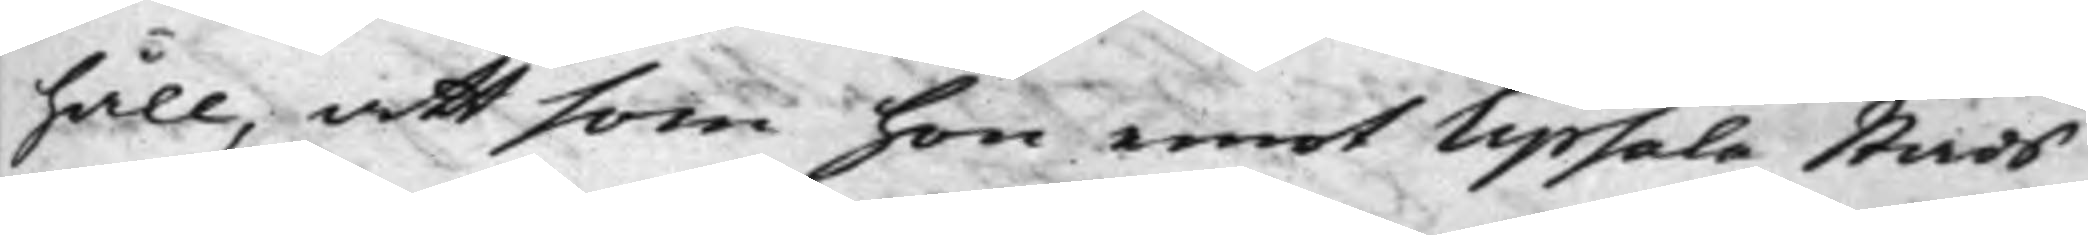håll, att som hon emot Upsala Stads
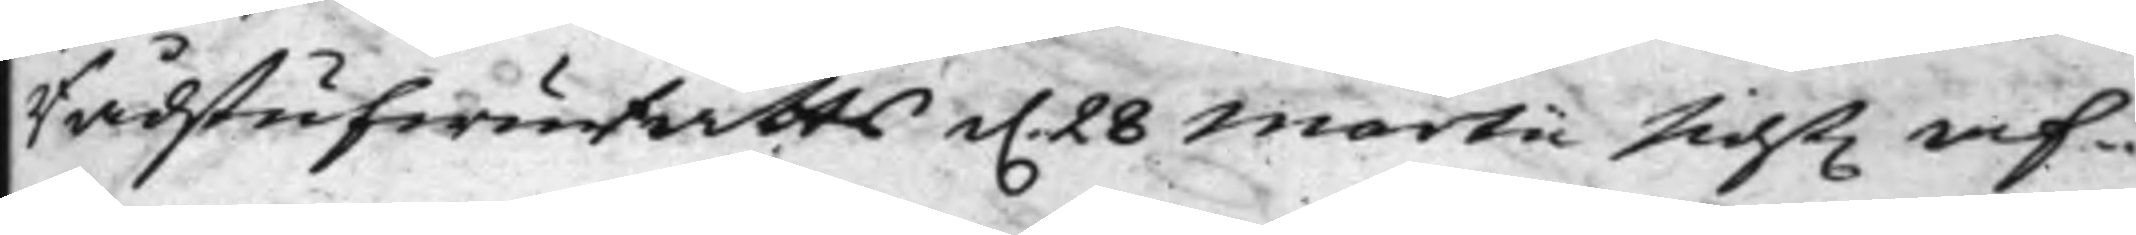RådstufwuRätts d. 28 Martii sidst. af¬
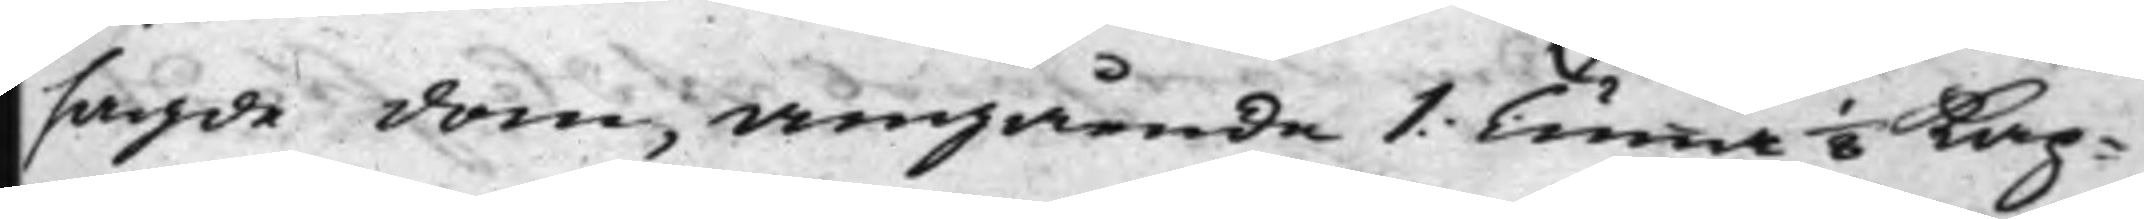sagde dom, angående 1. Tunna 1/8 Kap¬
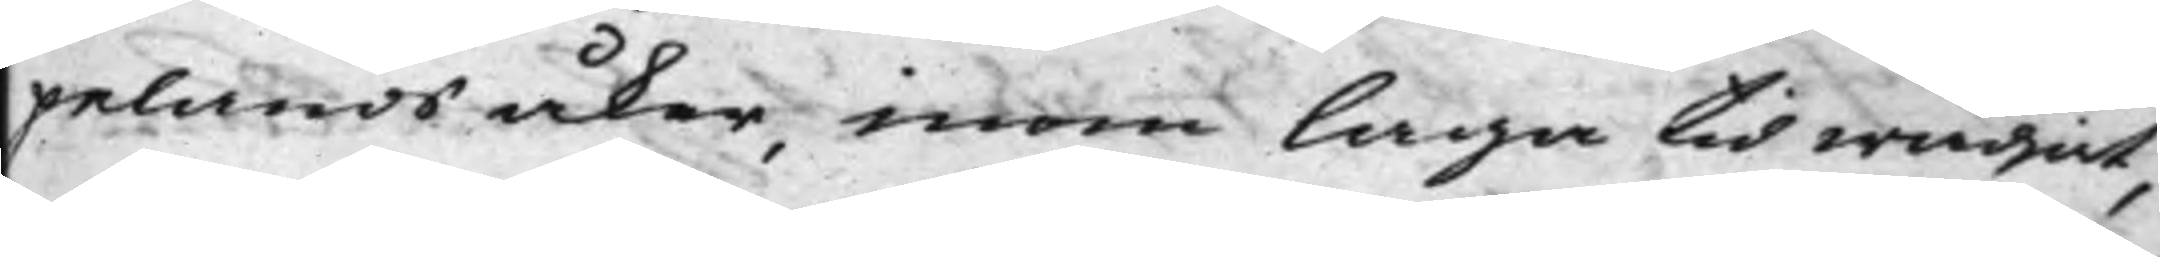pelands åker, inom laga tid wädjat,
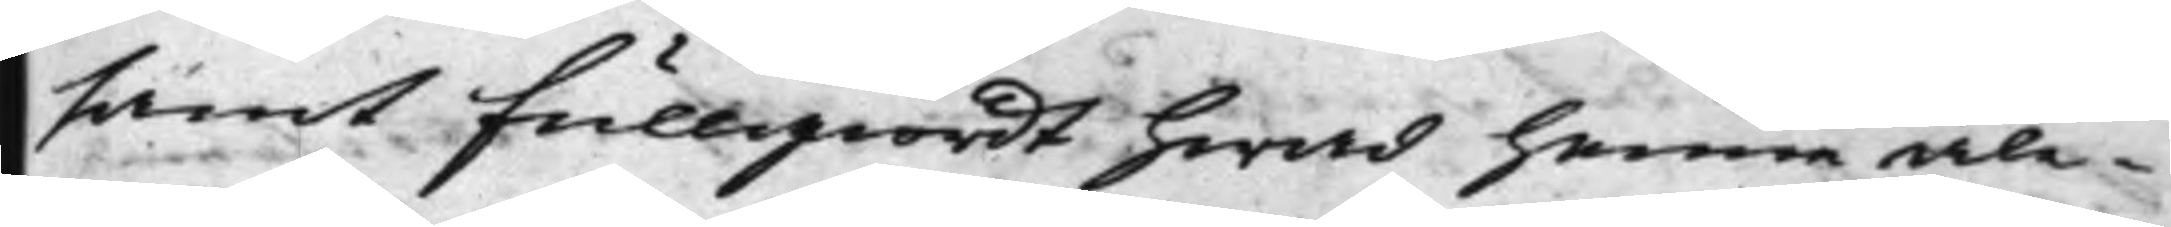samt fullgiordt hwad henne åle¬
